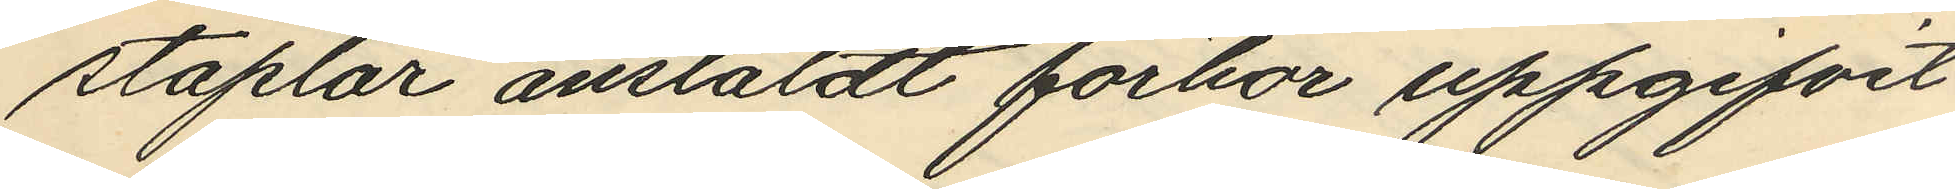staplar anstäldt förhör uppgifvit
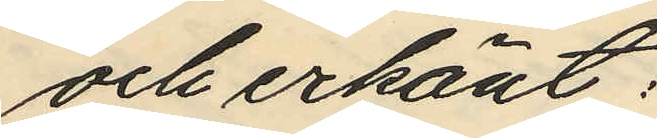och erkänt:
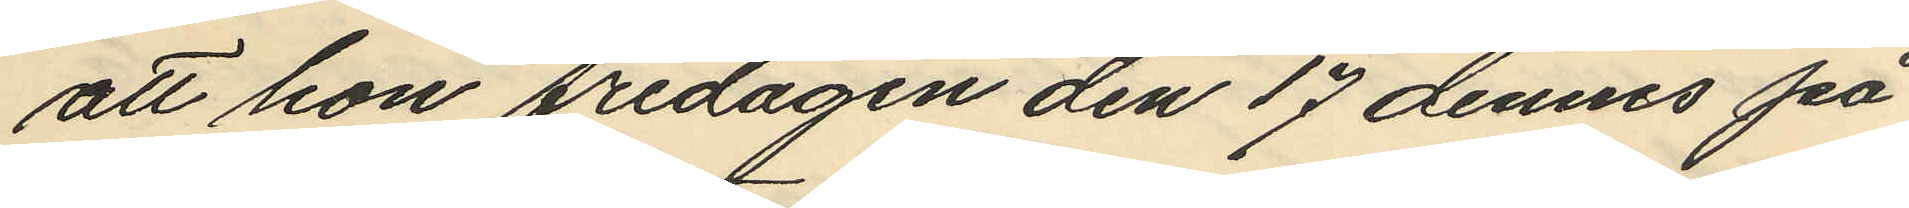att hon fredagen den 17 dennes på
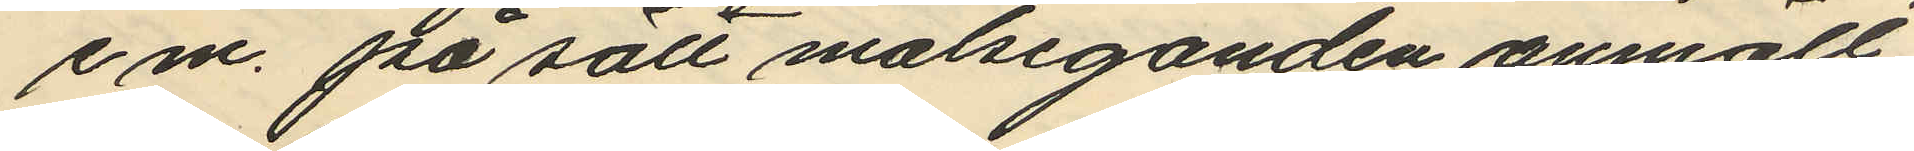em. på sätt målseganden anmält
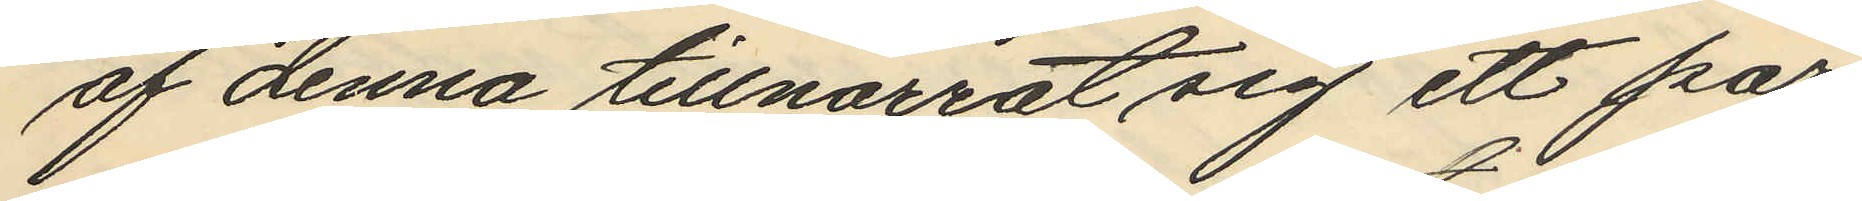af denna tillnarrat sig ett par
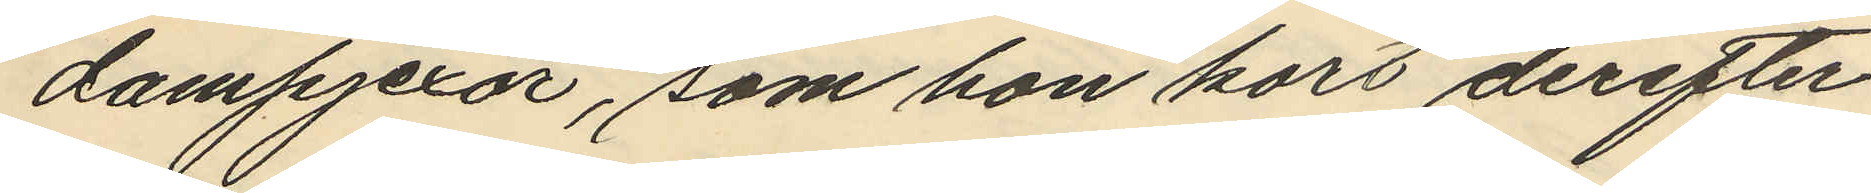dampjexor, som hon kort derefter
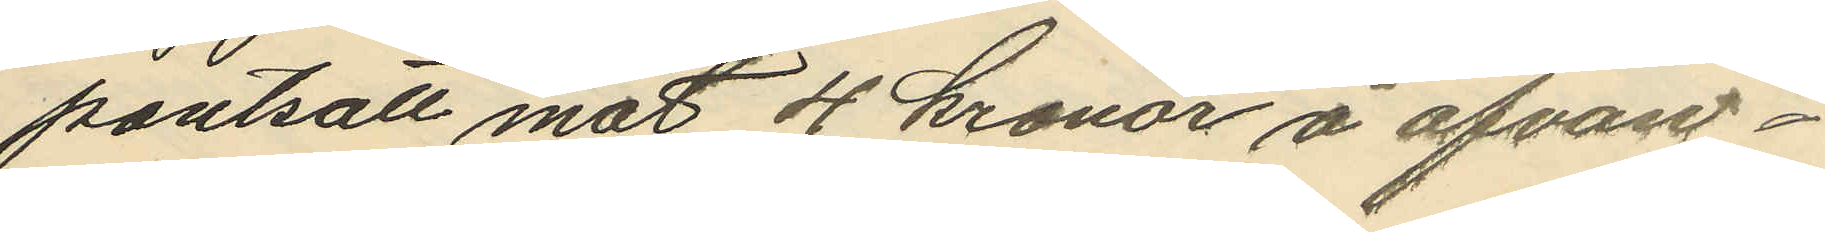pantsatt mot 4 kronor å ofvan¬
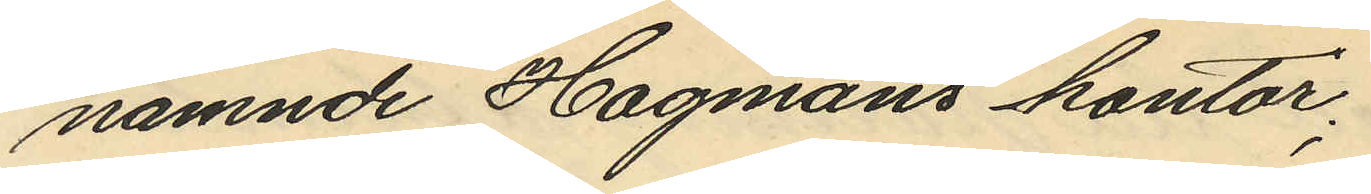nämnde Hagmans kontor;
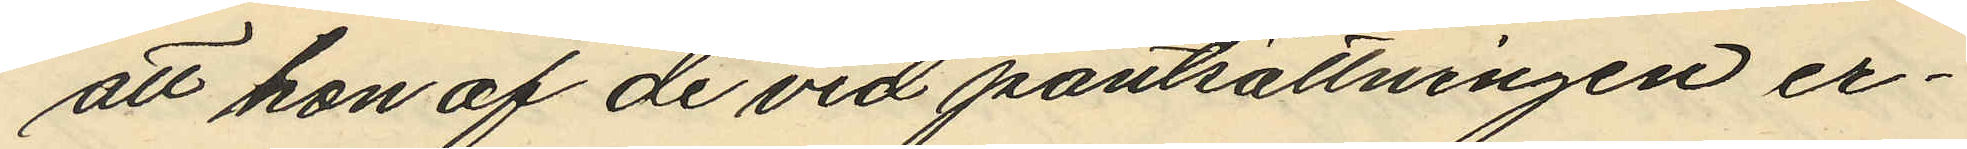att hon af de vid pantsättningen er¬
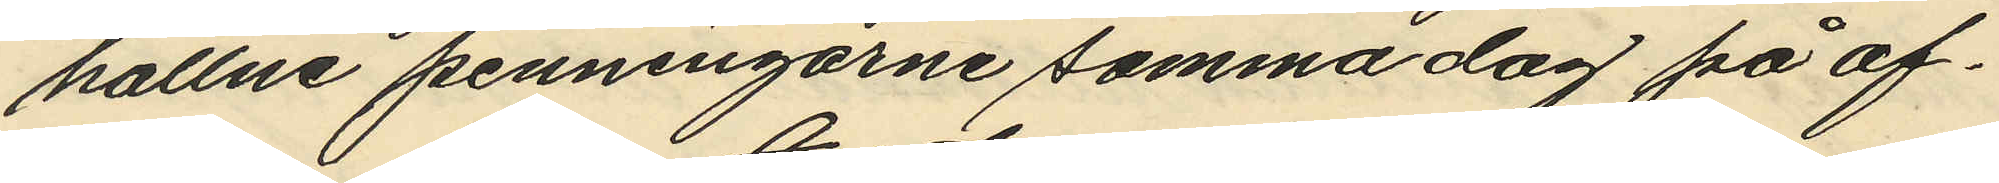hållne penningarne samma dag på af¬
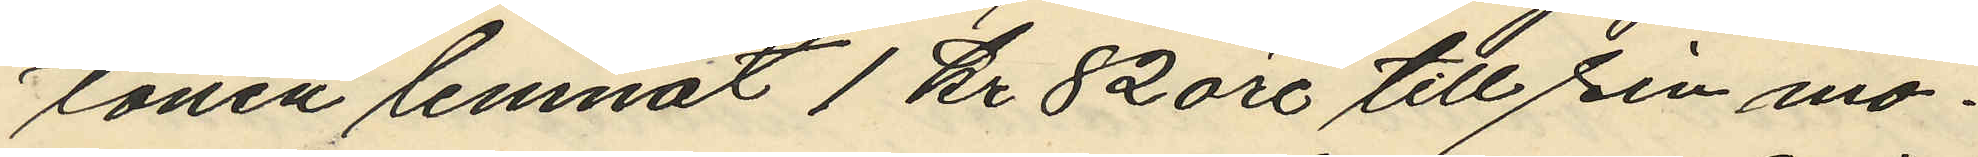tonen lemnat 1 Kr 82 öre till sin mo¬
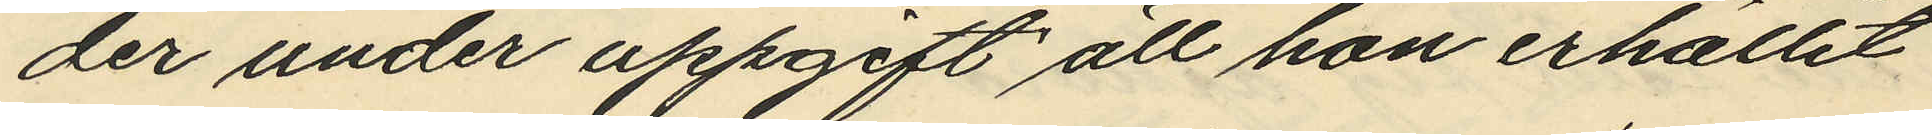der under uppgift att hon erhållit
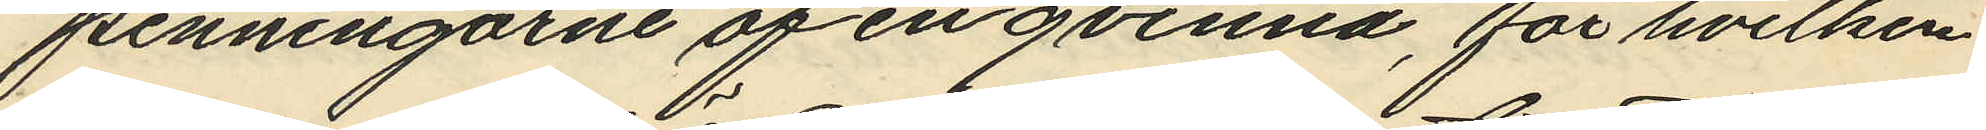penningarne af en qvinna, för hvilken
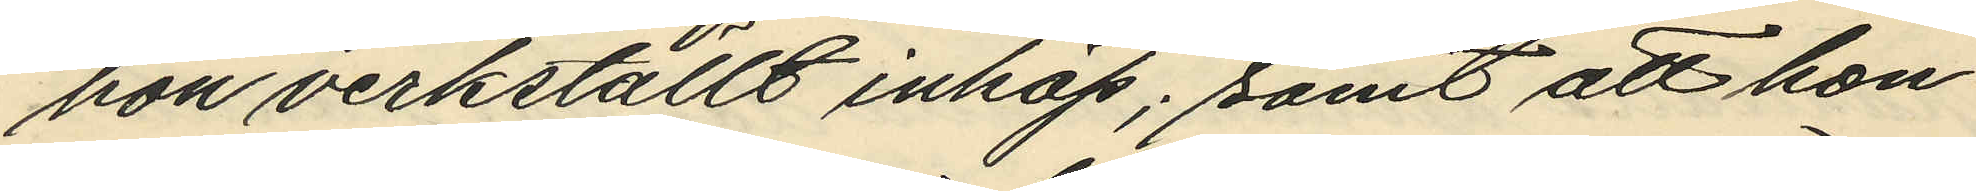hon verkställt inköp; samt att hon
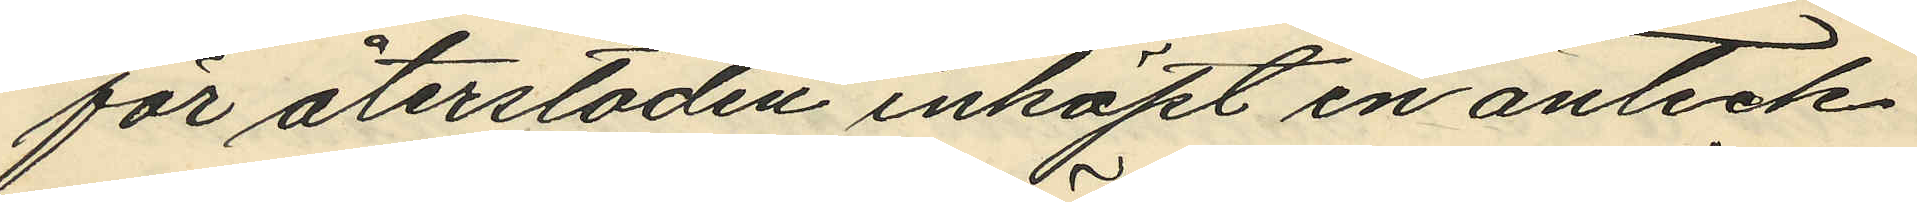för återstoden inköpt en anteck¬
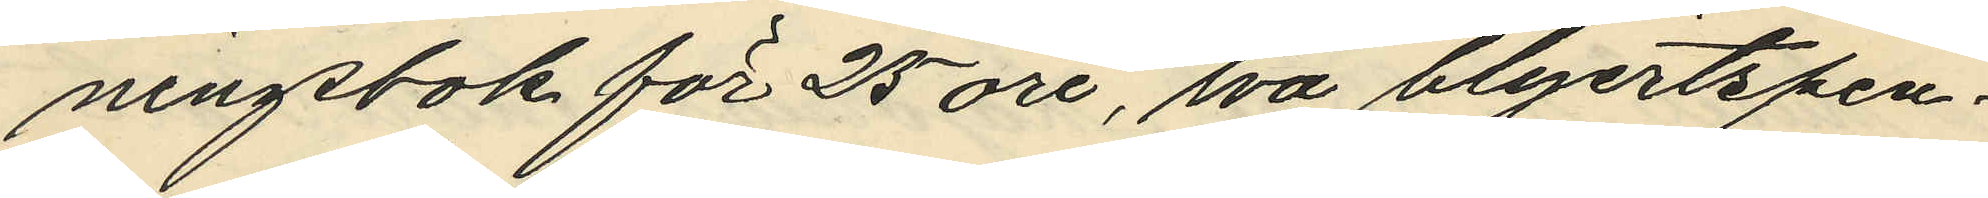ningsbok för 25 öre, två blyertspen¬
